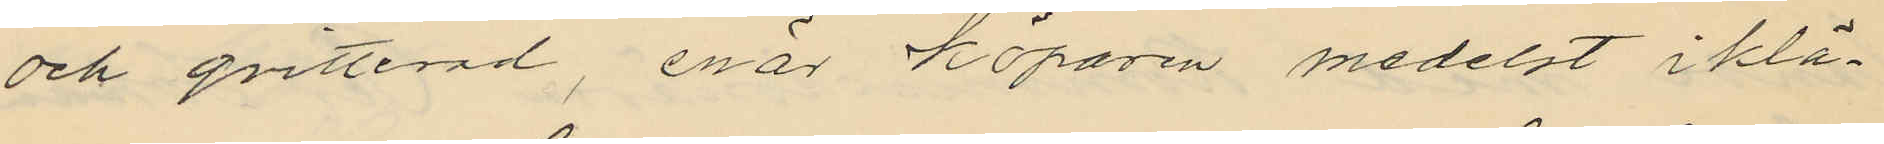och qvitterad, enär köparen medelst iklä¬
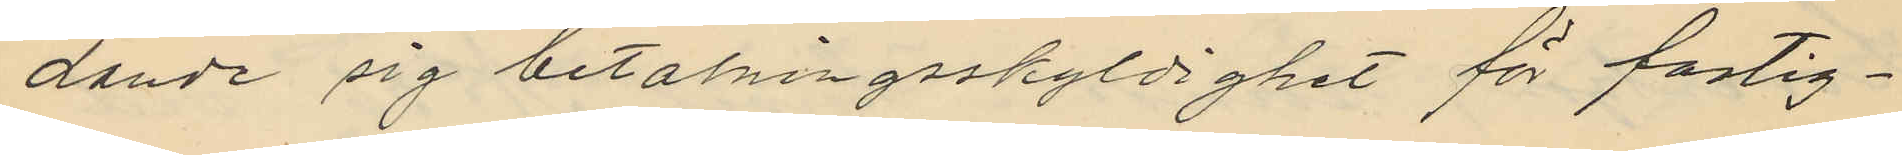dande sig betalningsskyldighet för fastig¬
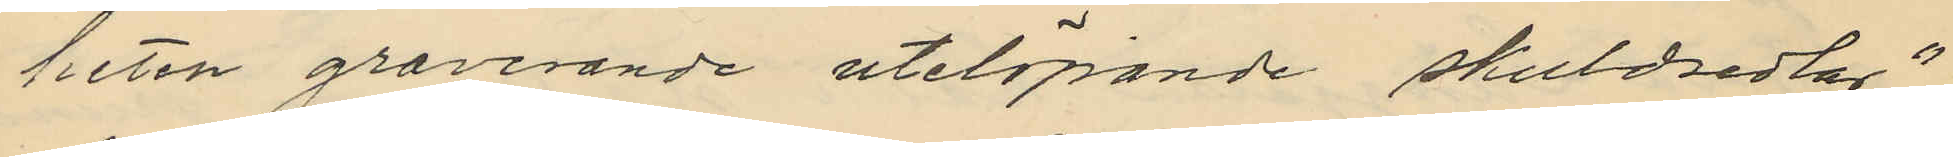heten graverande utelöpande skuldsedlar"
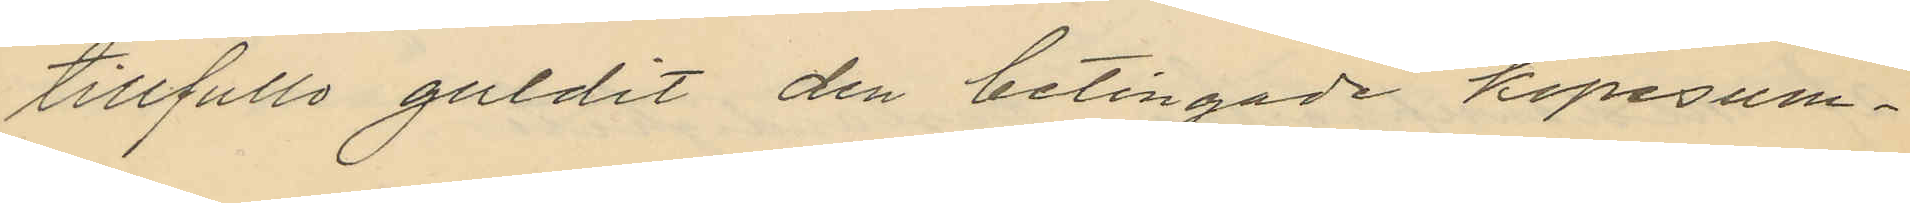tillfullo guldit den betingade köpesum¬
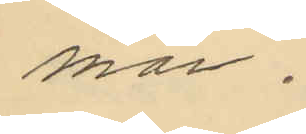man.
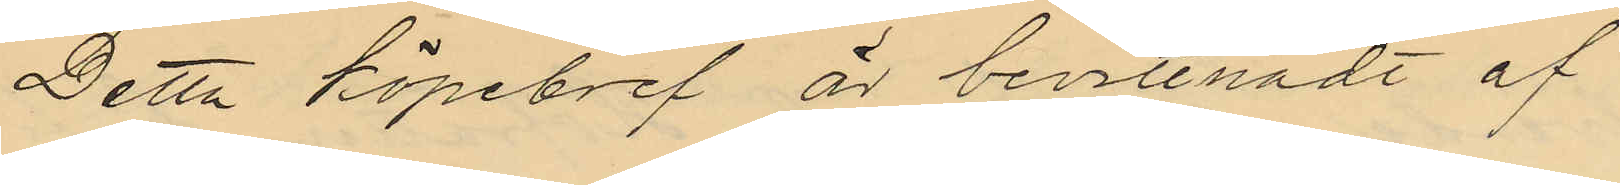Detta köpebref är bevittnadt af
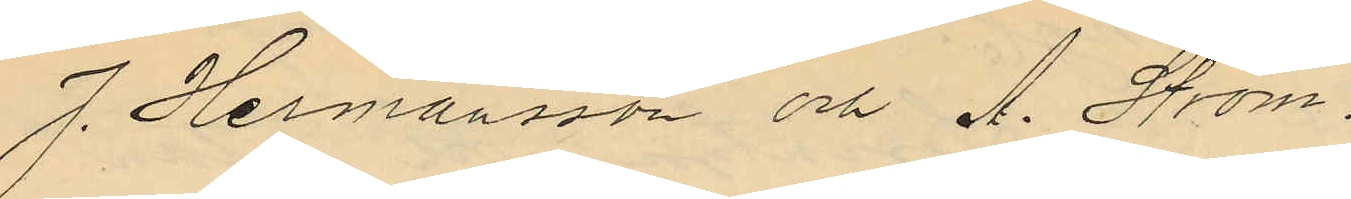J. Hermansson och A. Ström,
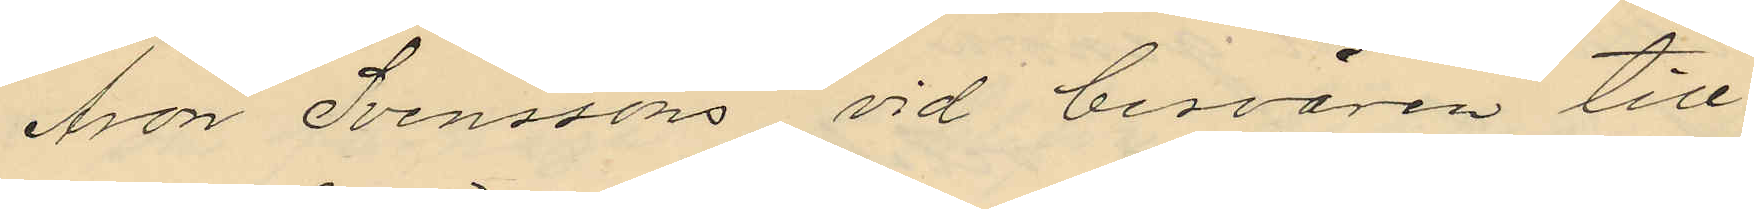Aron Svenssons vid besvären till
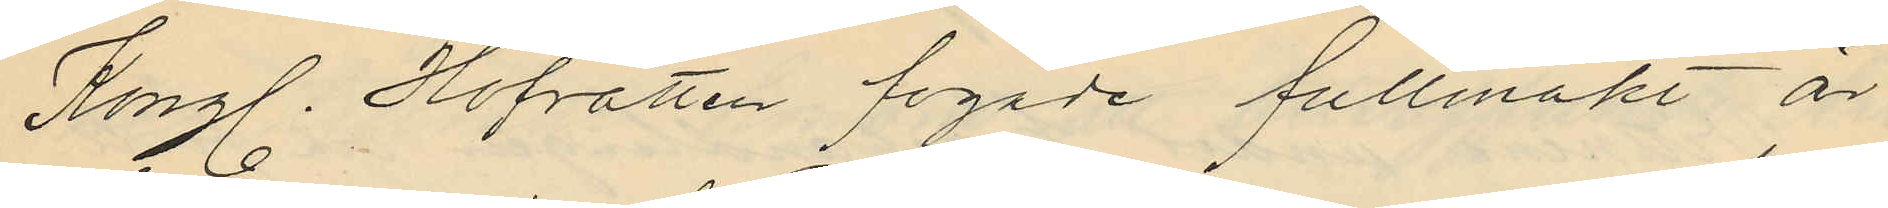Kongl. Hofrätten fogade fullmakt är
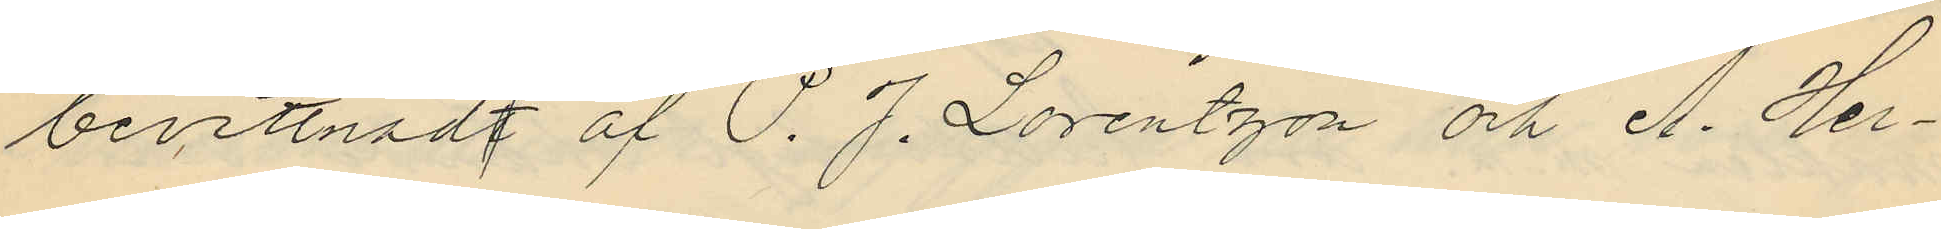bevittnadt af P. J. Lorentzon och A. Her¬
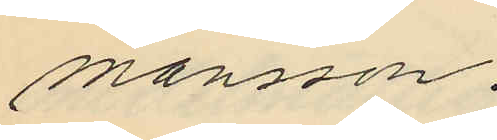mansson.
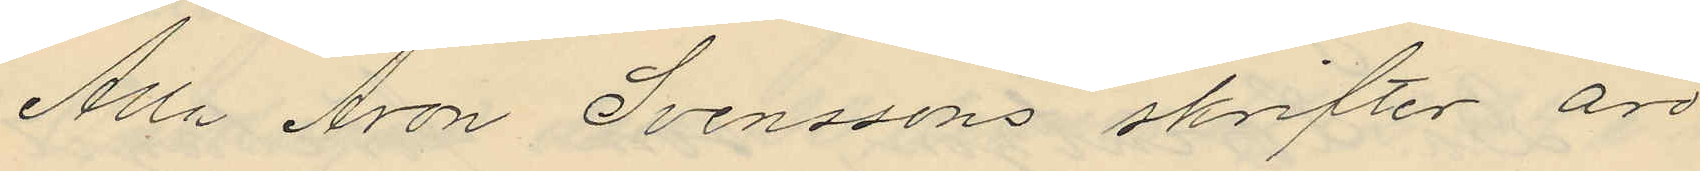Alla Aron Svenssons skrifter äro
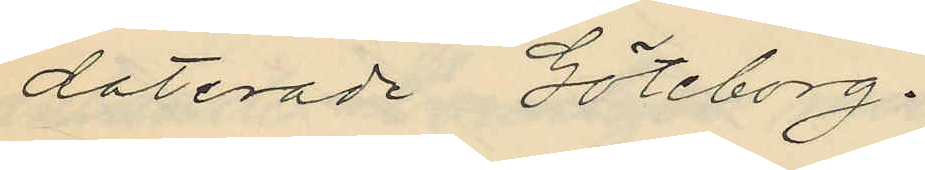daterade Göteborg.
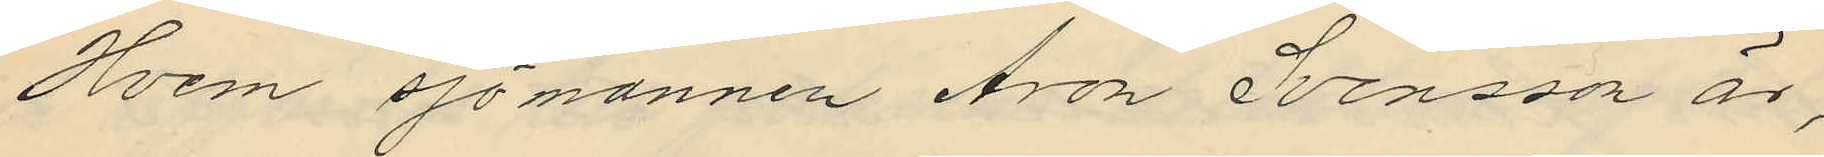Hvem sjömannen Aron Svensson är,
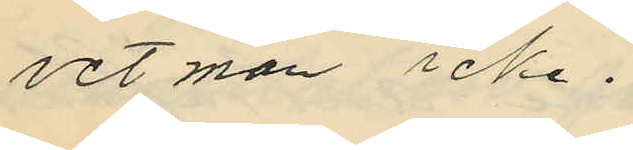vet man icke.
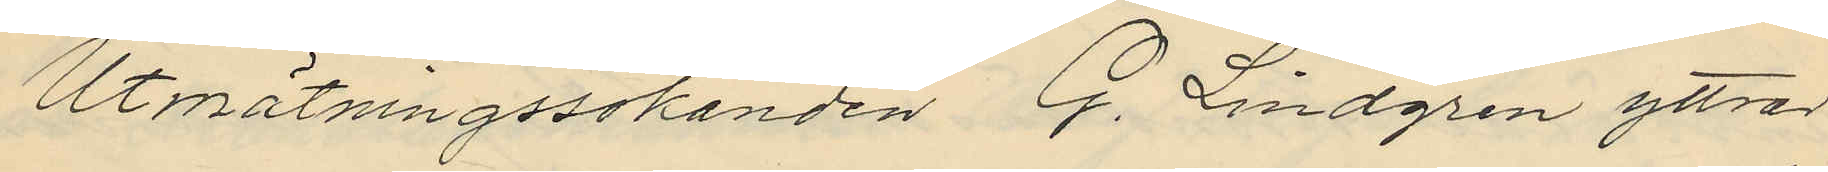Utmätningssökanden G. Lindgren yttrar
